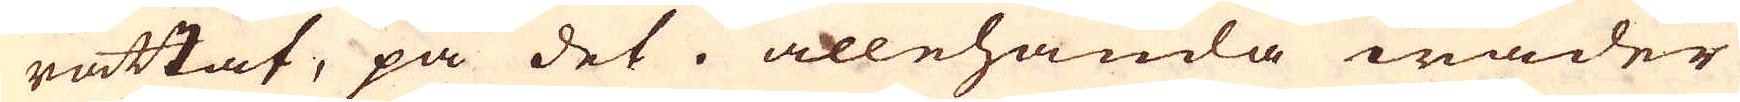rättat, på det i allehanda wäder
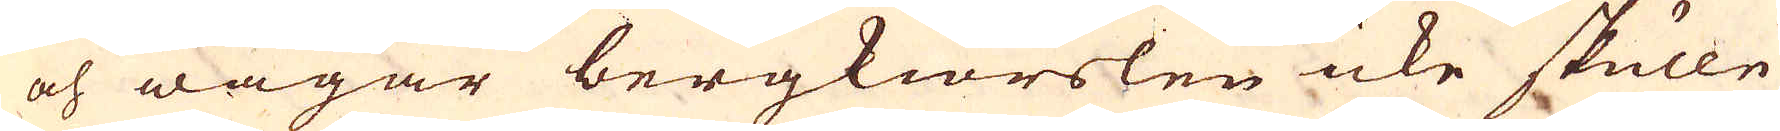och wägar bergkiörslen icke skulle
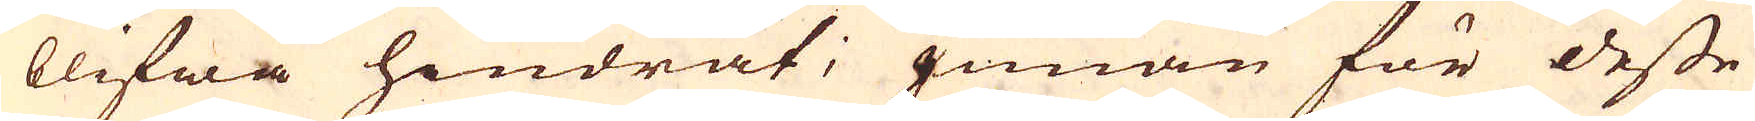blifwa hindrat; Innan för desse
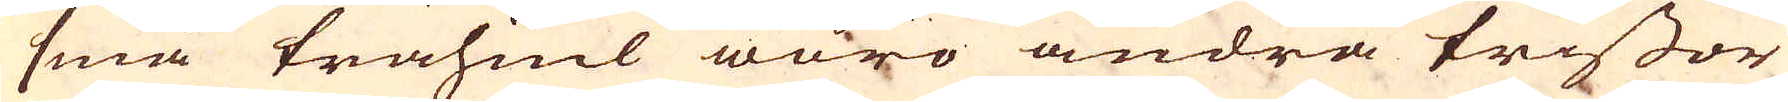små trähiul woro andra trissor
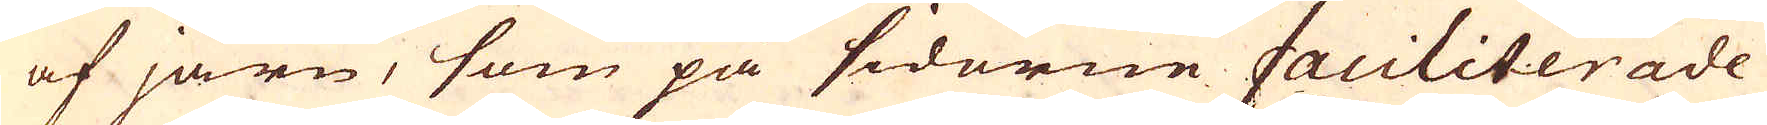af järn, som på sidorne faciliterade
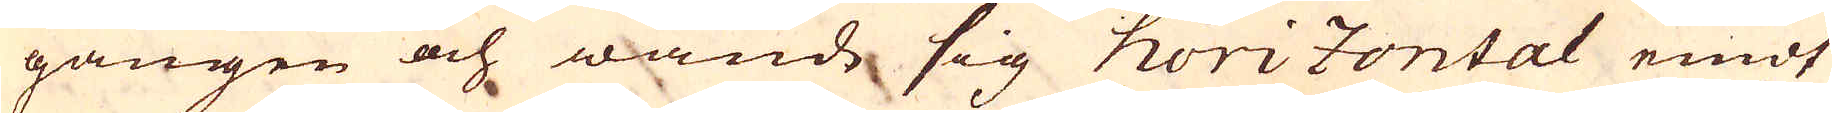gången och wände sig horizontalt emot
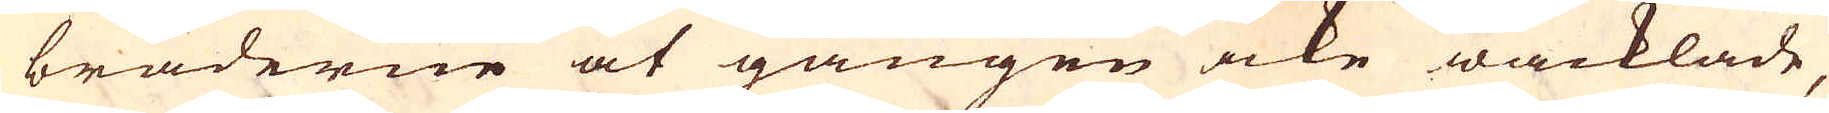bräderne at gången icke wacklade,
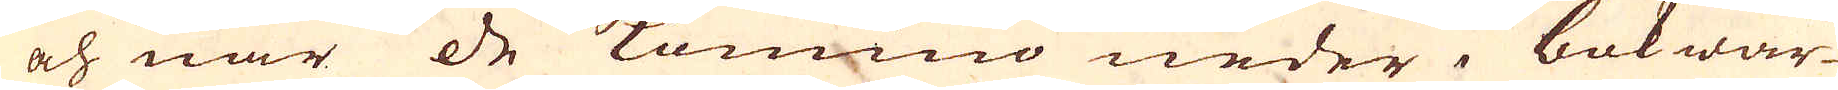och när de kommo neder i bokwär-
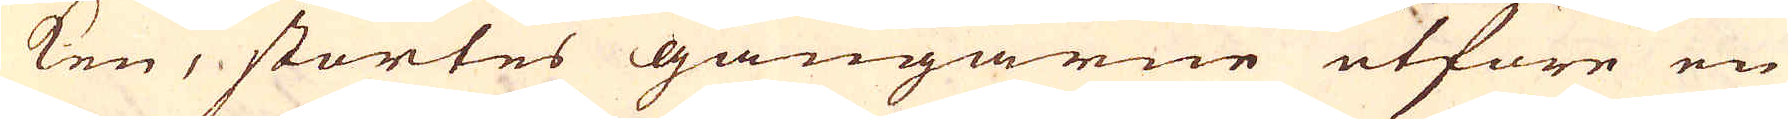ken, störtes gångarne utföre en
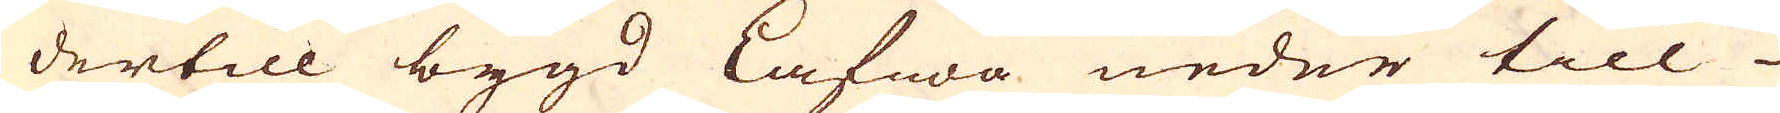dertill bygd Lafwe neder till
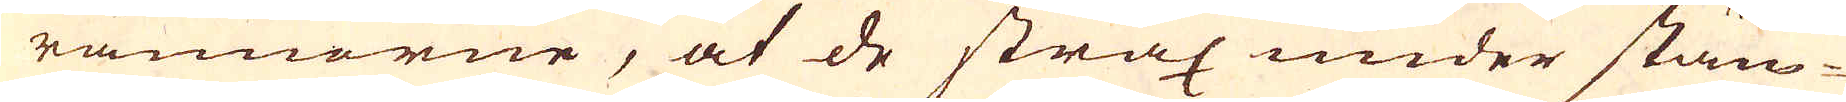rännorne, at de strax under stäm-
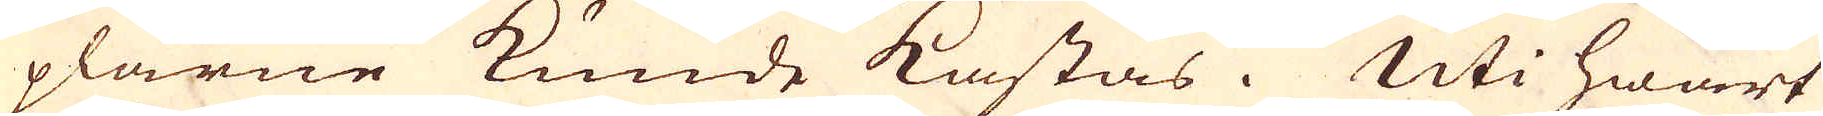plarne kunde kastas. Uti hwart
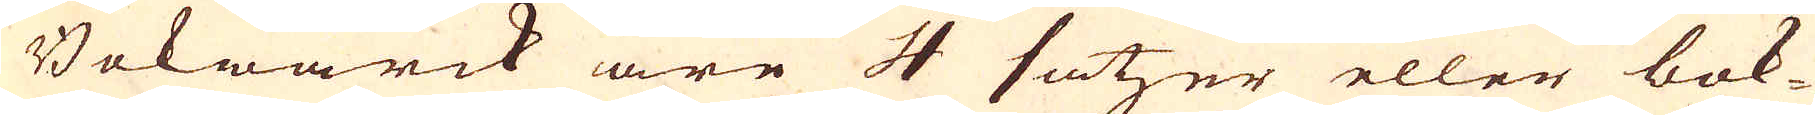Bokwärck äre 4 satzer eller bok-
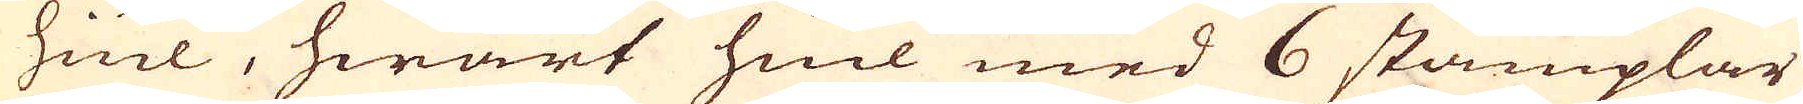hiul, hwart hiul med 6 stämplar
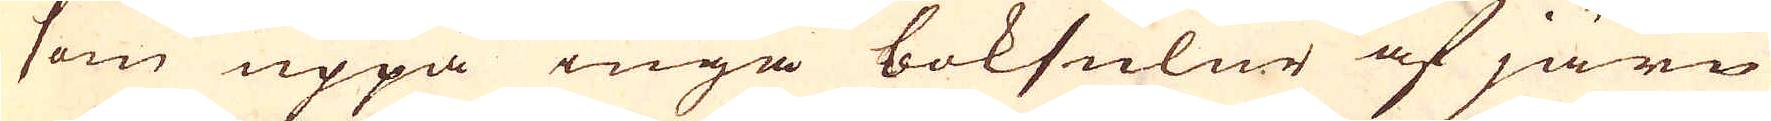som uppå inga boksulur af järn
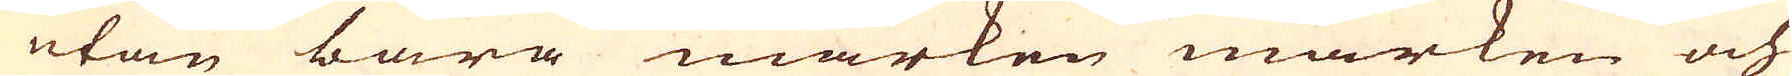utan bara marken marken och
